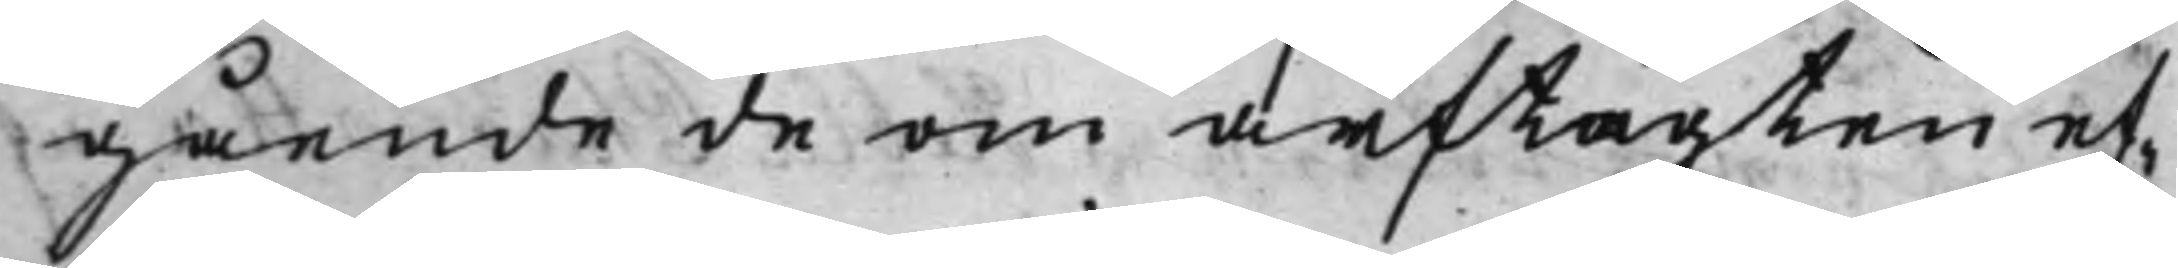gående de om arftägten ef¬
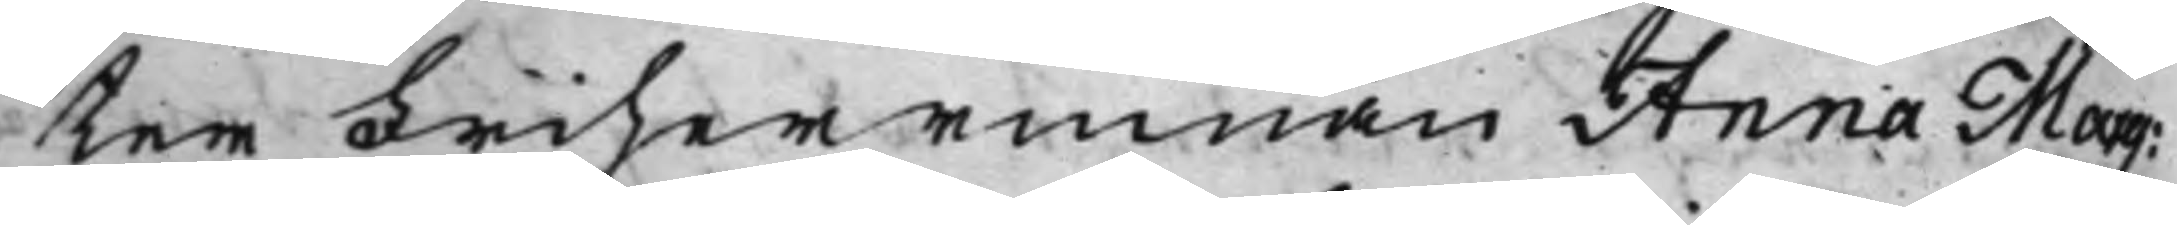ter Friherrinnan Anna Marg:
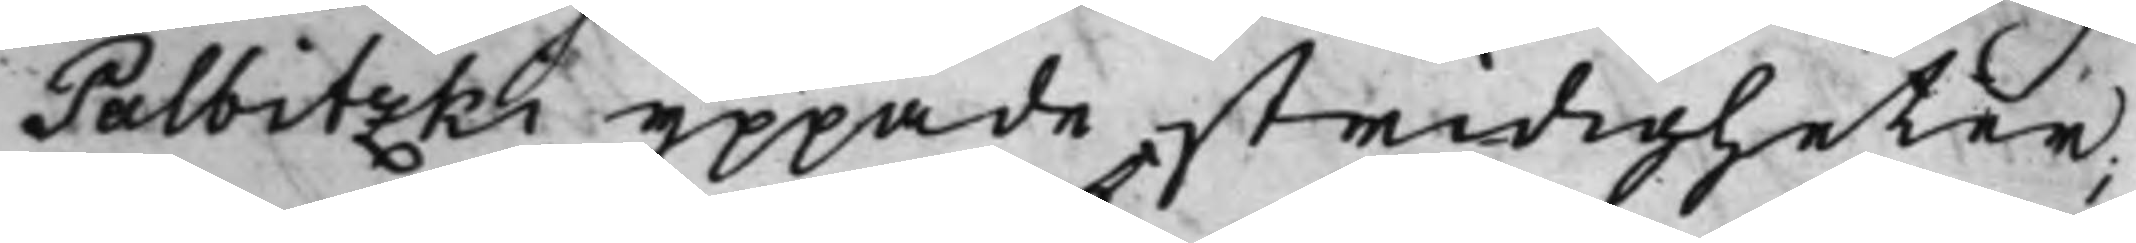Palbitzki yppade stridigheter;
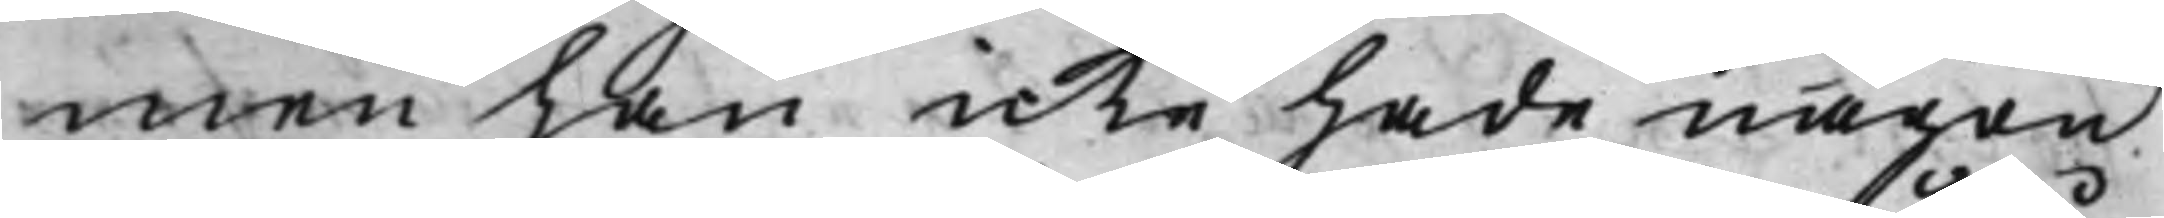men han icke hade någon
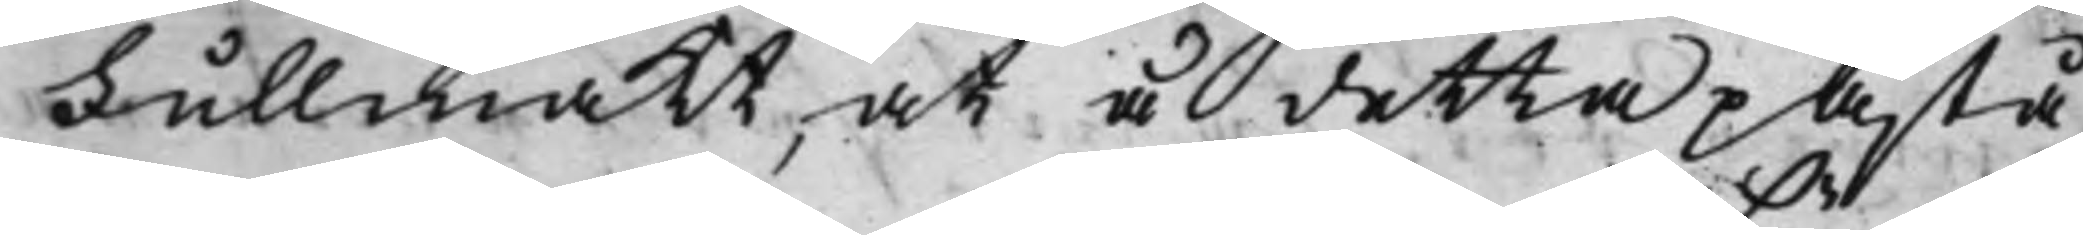Fullmakt, at å detta påstå¬
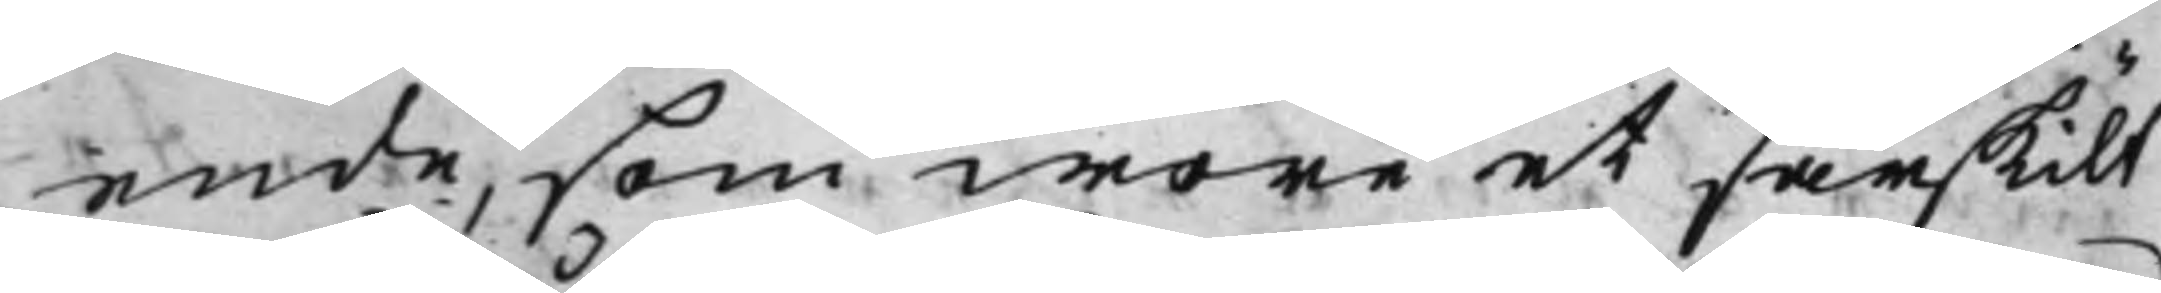ende, som wore et särskilt
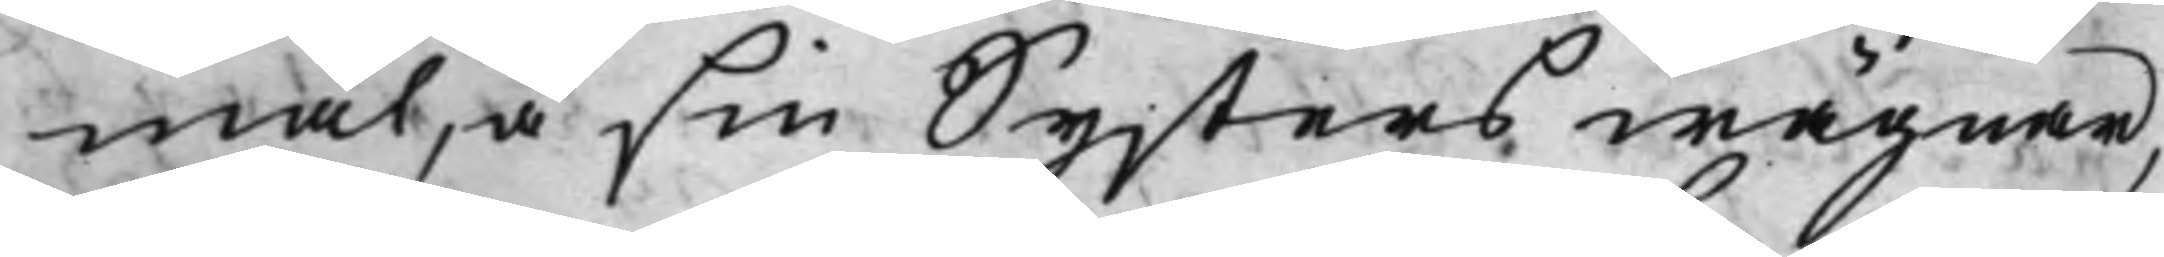mål, å sin Systers wägnar,
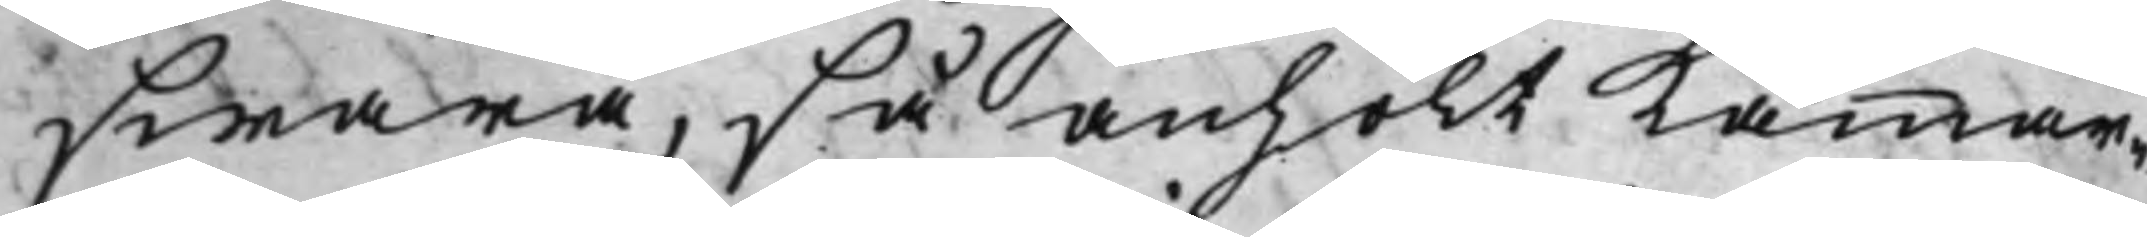swara, så anhölt Kammar¬
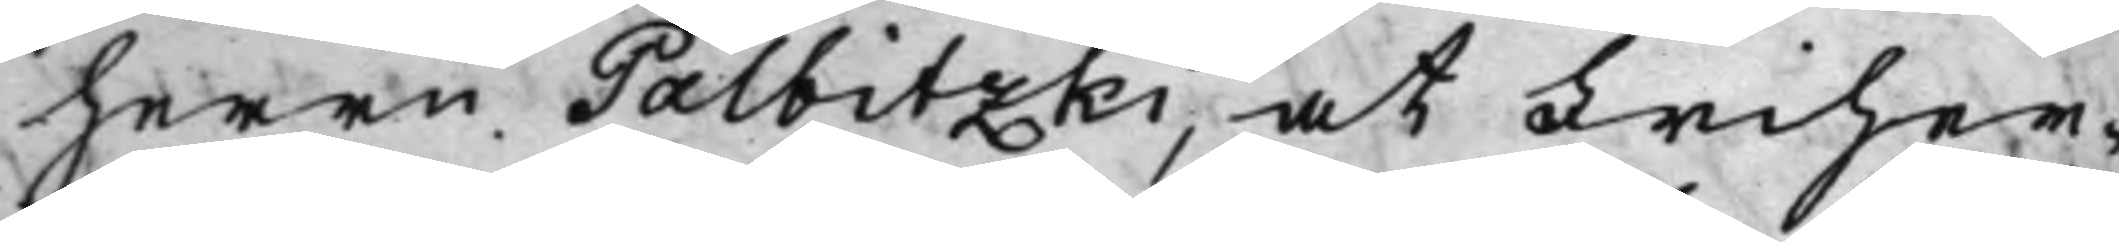herrn Palbitzki, at Friher¬
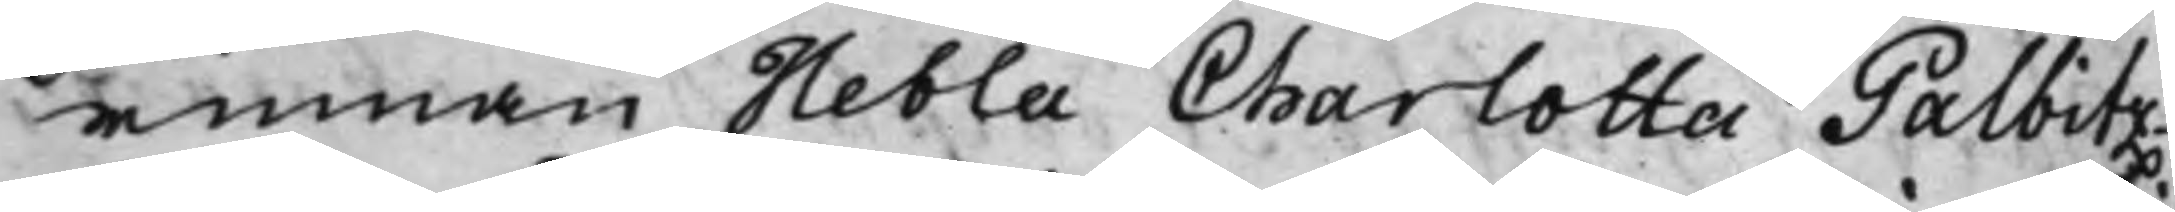rinnan Hebla Charlotta Palbitz¬
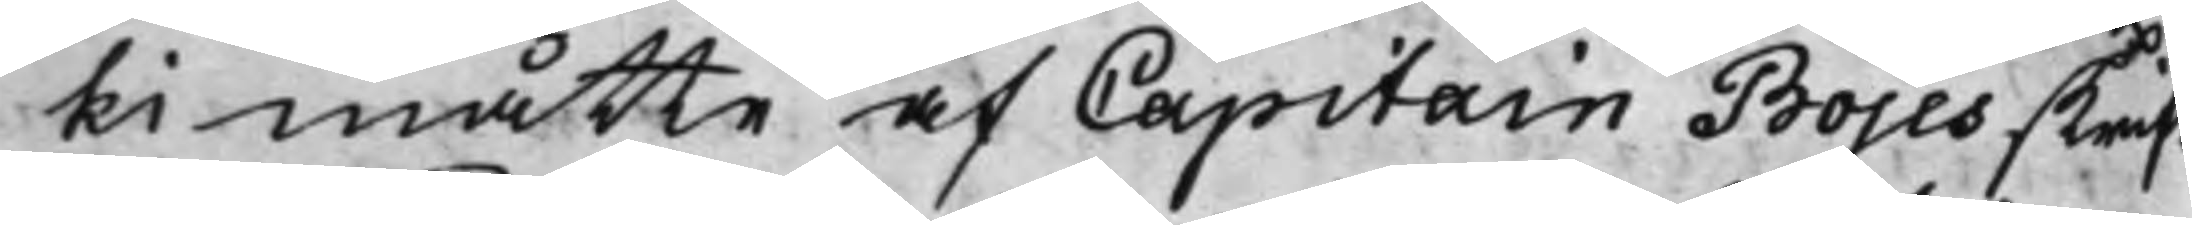ki måtte af Capitain Bojes skrift
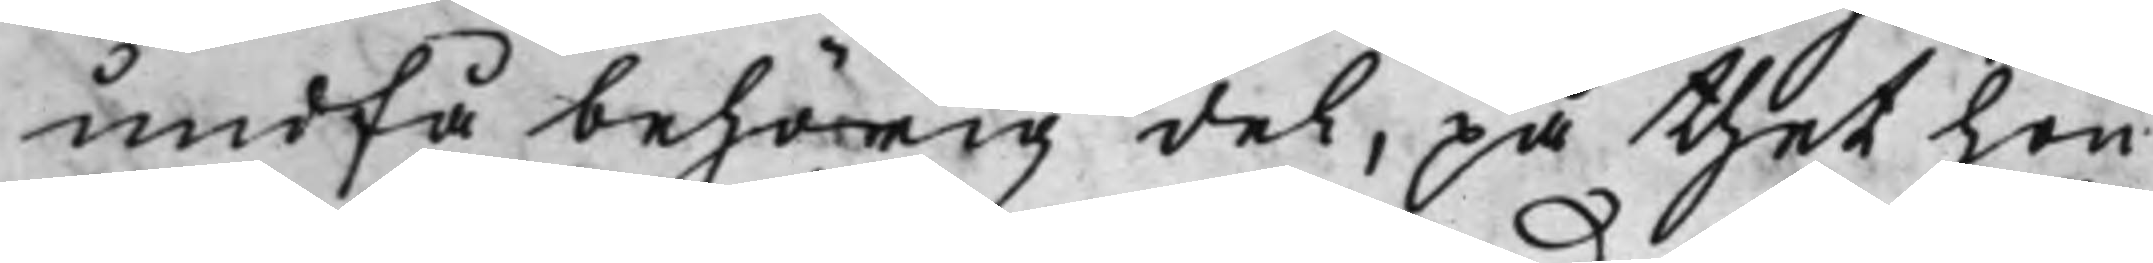undfå behörig del, på thet hon
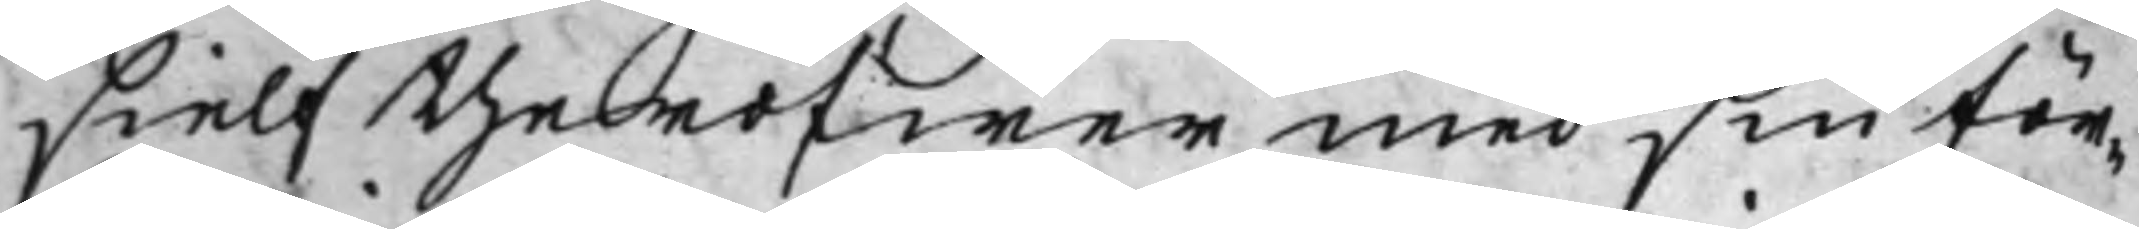sielf theröfwer med sin för¬<
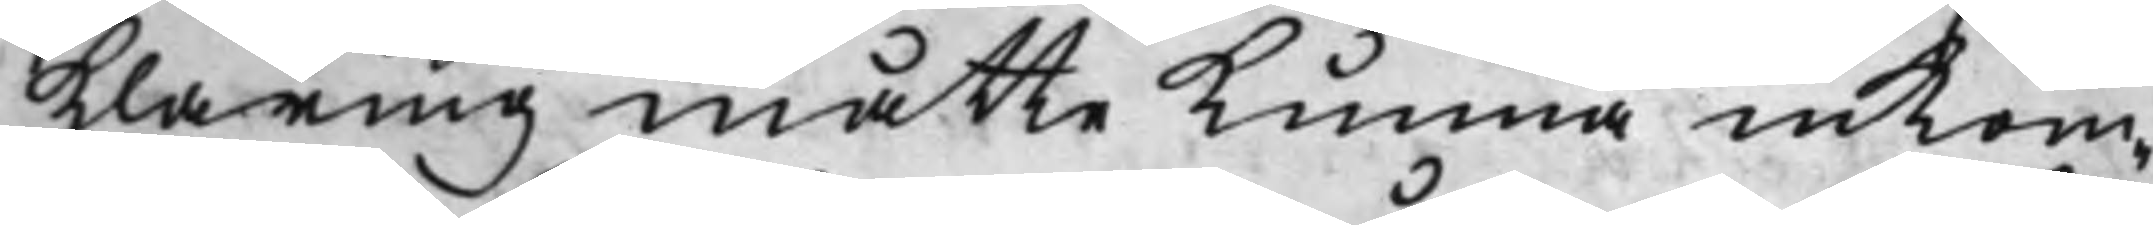Klaring måtte Kunna inkom¬
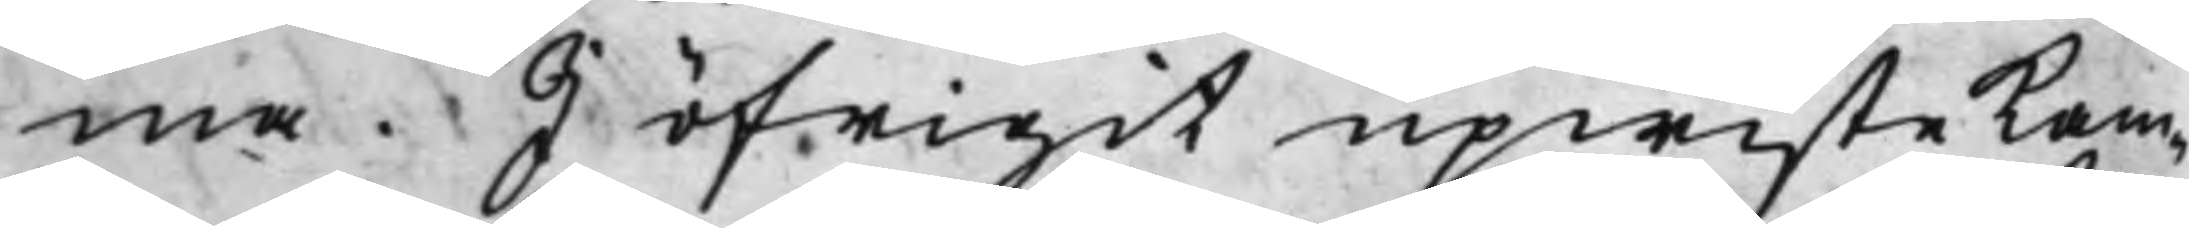ma. I öfrigit upwiste Kam¬
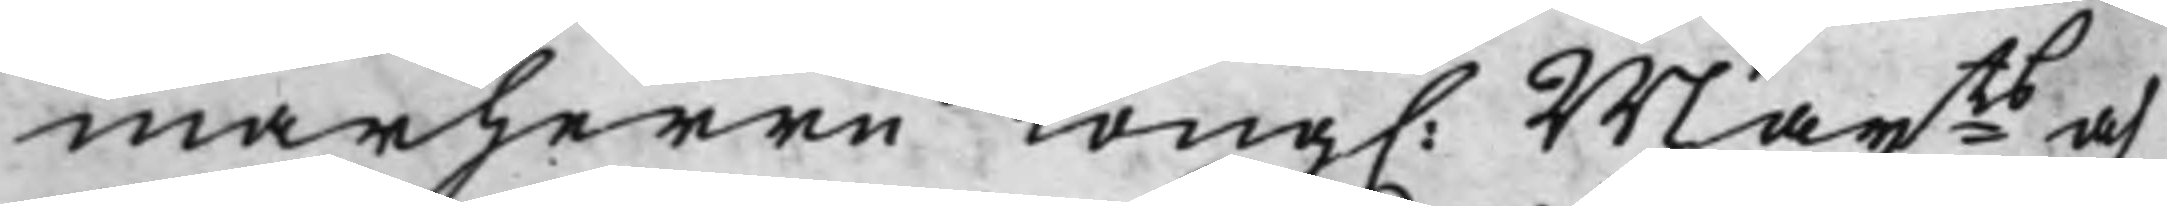marherrn Kong. Maijts och
